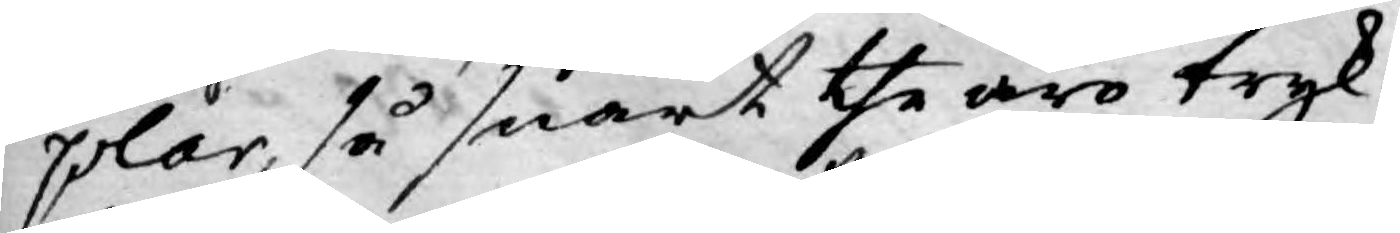plar, så snart the äro tryk¬
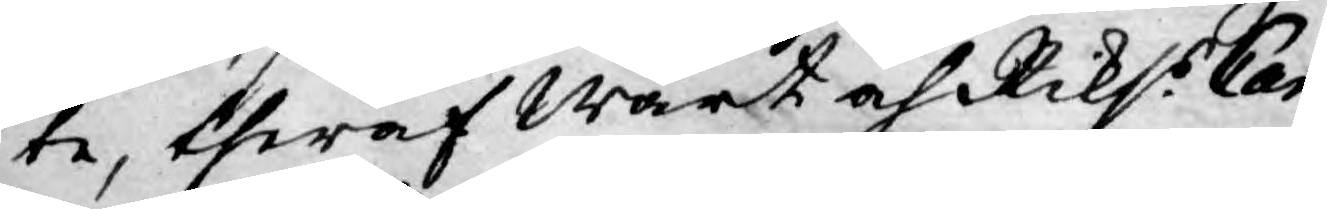te, theraf wårt och Rikss Can¬
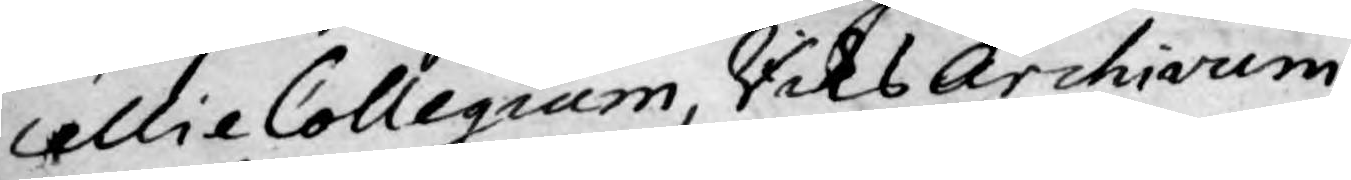cellie Collegium, Riks Archivum,
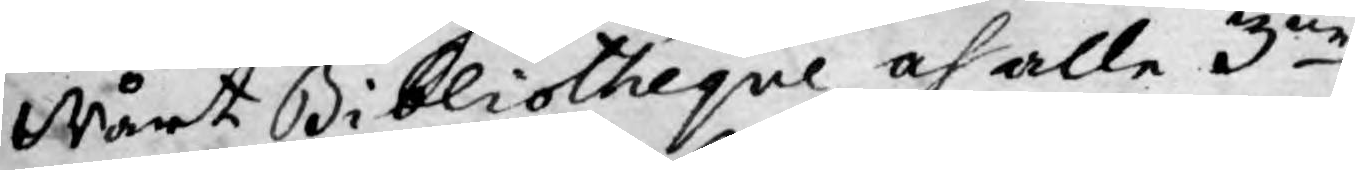Wårt Bibliotheque och alle 3ne
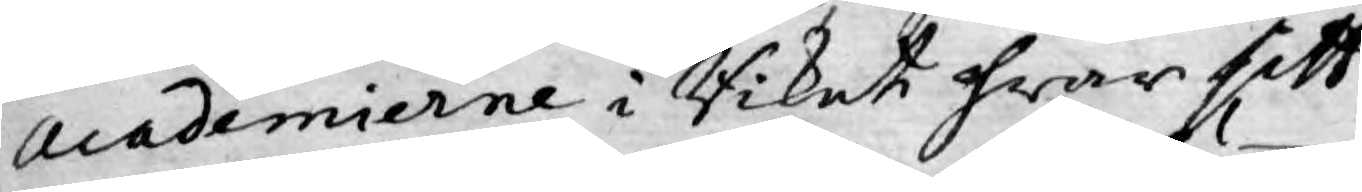Academierne i Riket hwar sitt
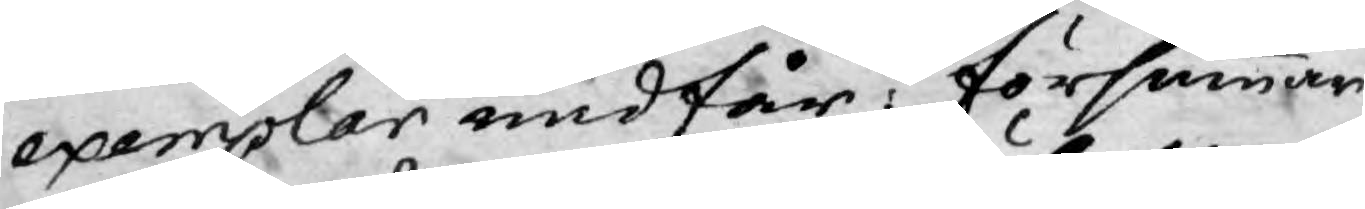exemplar undfår, försummar
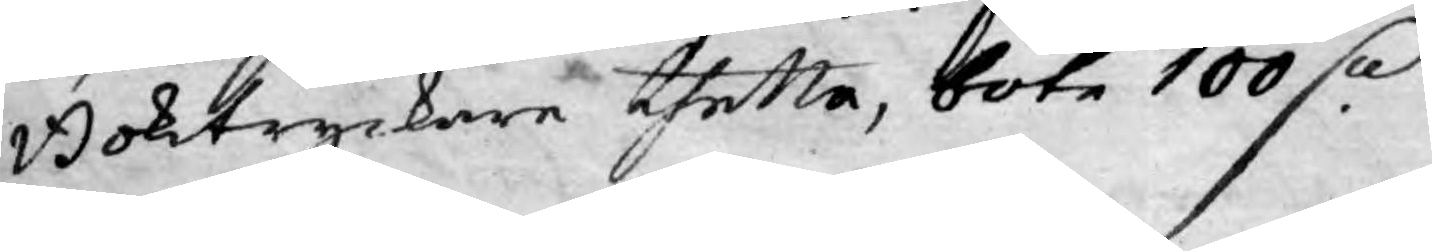Boktryckare thetta, böte 100 D:r
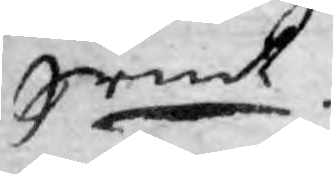Srmt.
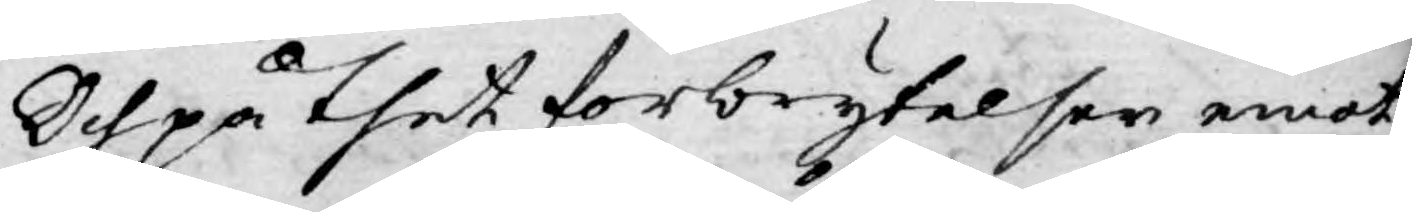Och på thet förbrytelser emot
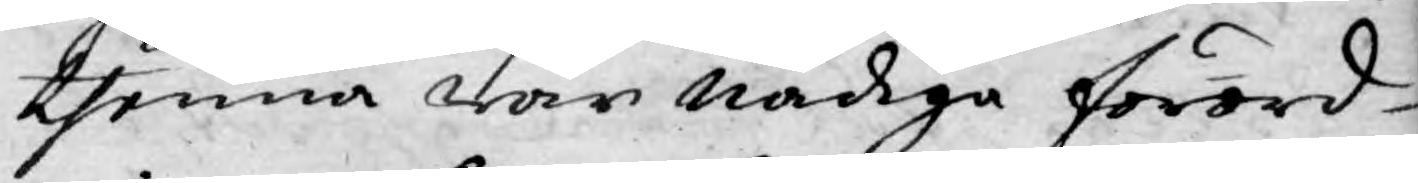thenna wår nådiga förord¬
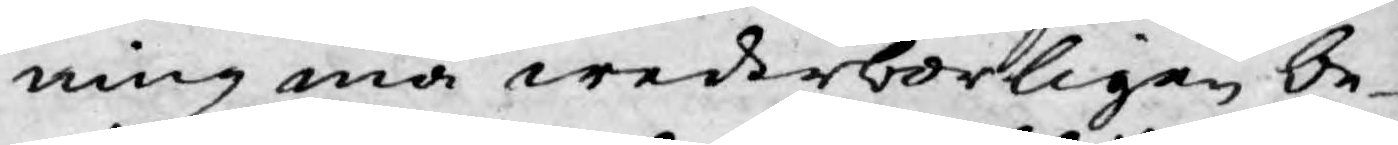ning må wederborligen be¬
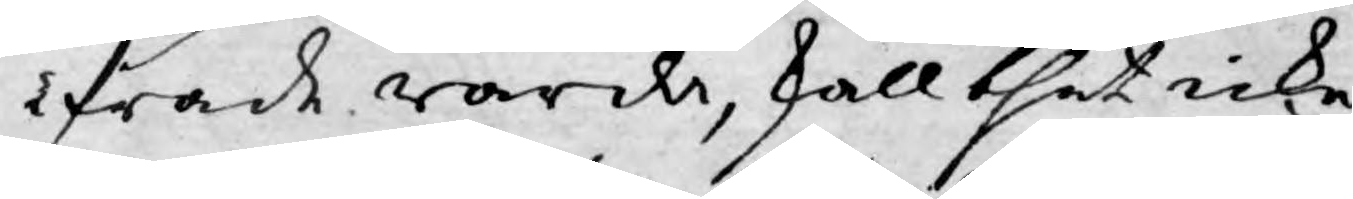ifrade warda, skall thet icke
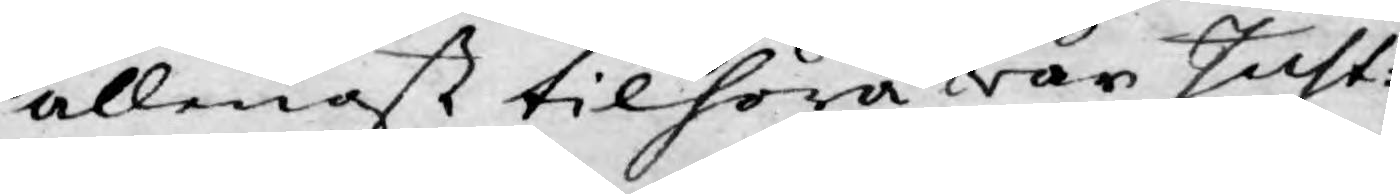allenast tilhöra war Just:
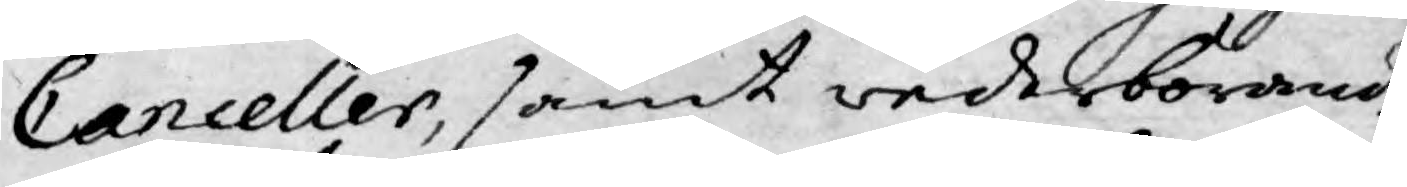Canceller, samt wederbörande
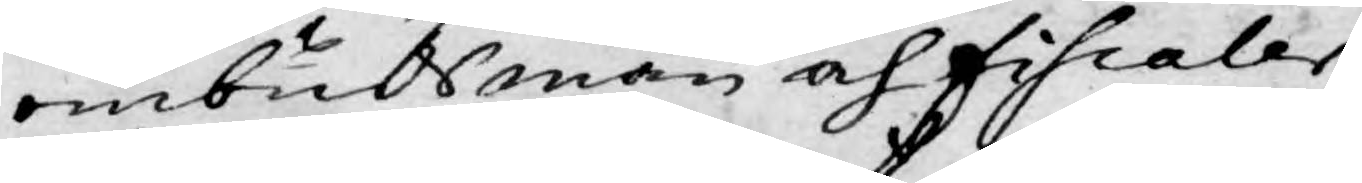ombudsmän och Fiscaler,
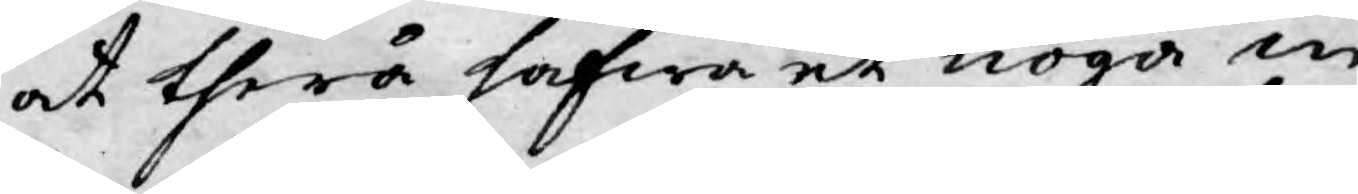at therå hafwa et noga in¬
